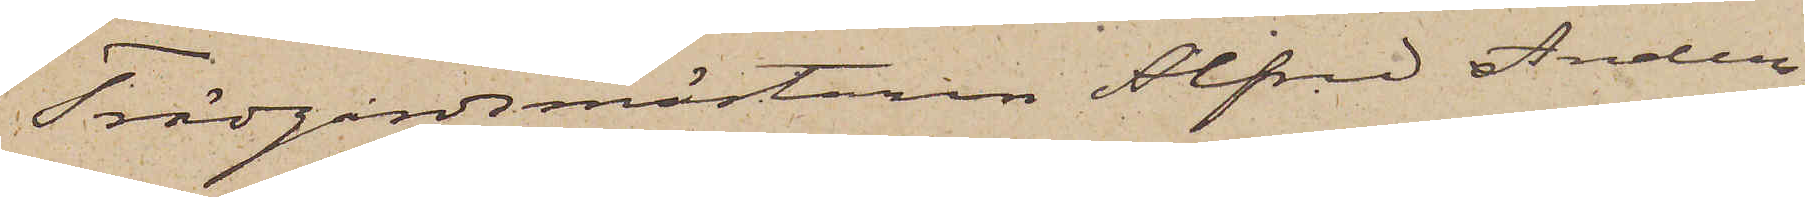Trädgårdsmästaren Alfred Anders¬
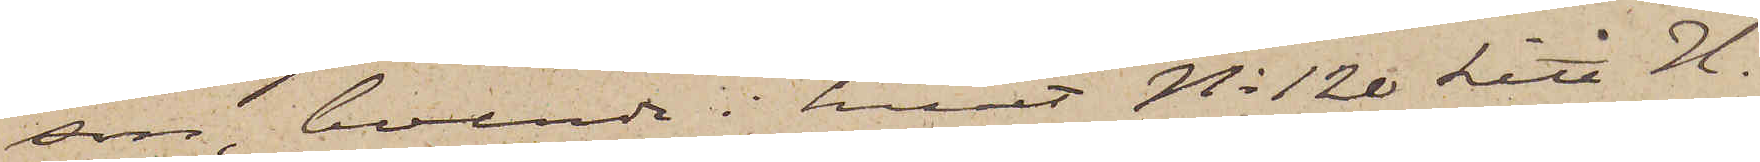son, boende i huset No 120 Litt H.
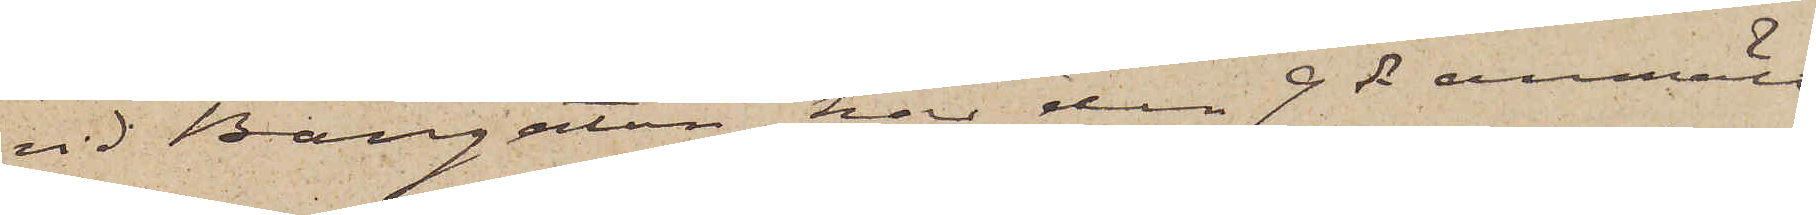vid Bangatan, har den 9 ds anmält
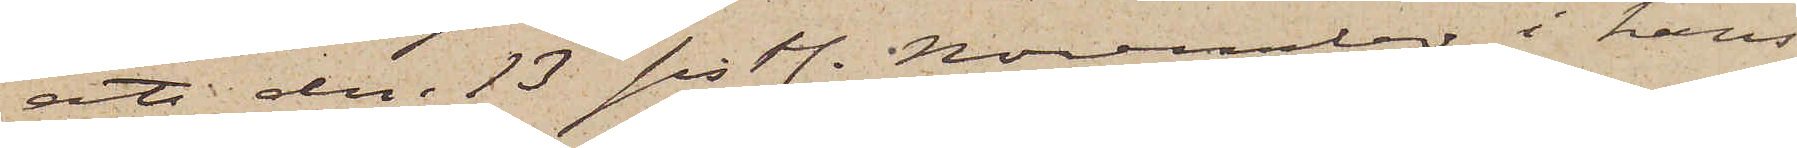att den 13 sistl. November i hans
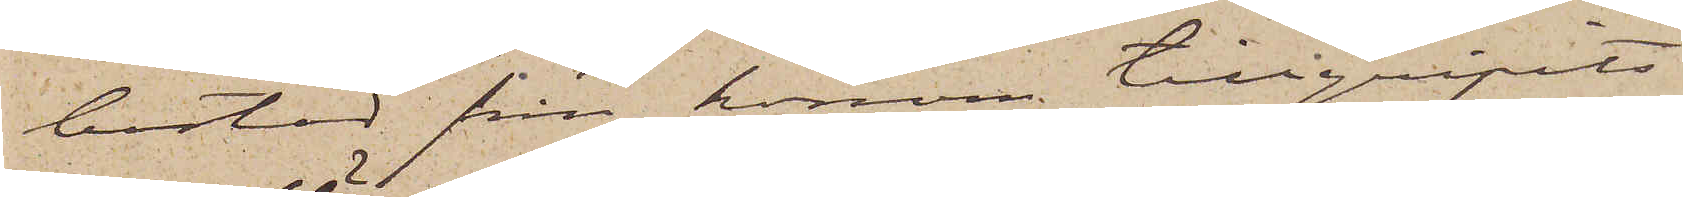bostad från honom tillgripits
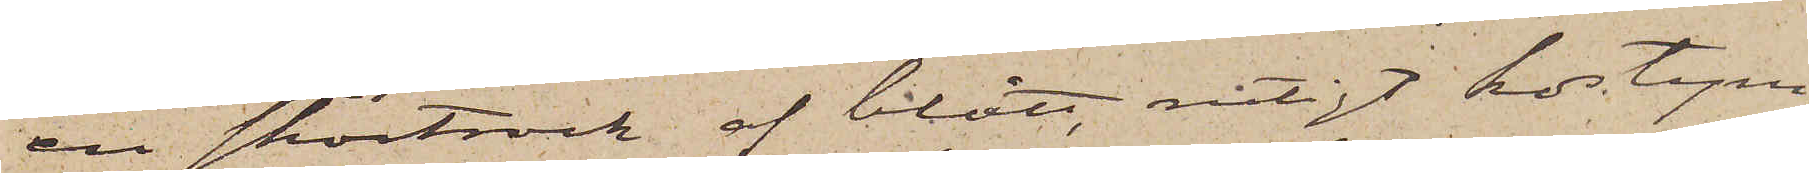en skörtrock af blått rutigt kostym¬
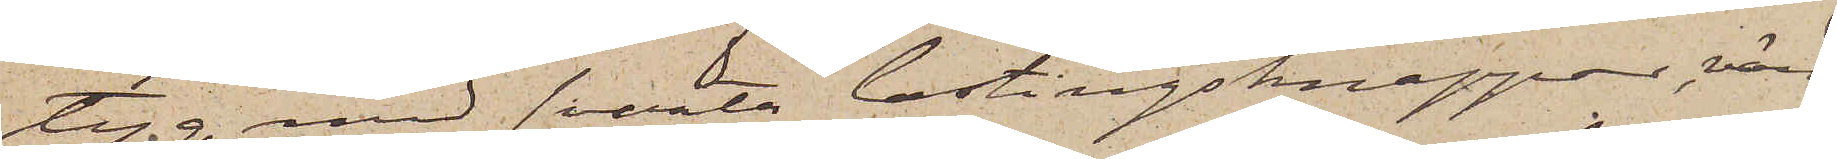tyg med svarta lastingsknappar, värd
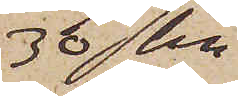30 kr
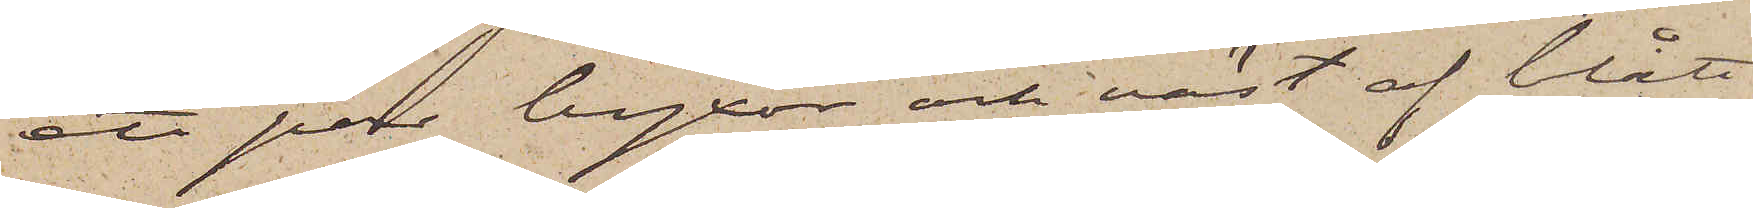ett par byxor och väst af blått
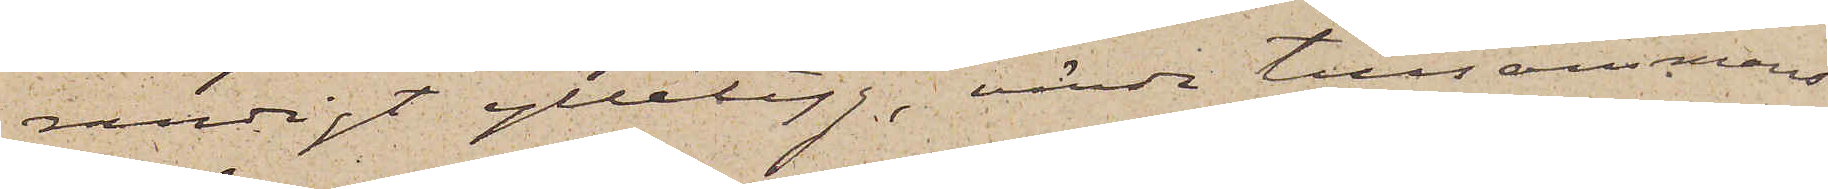randigt ylletyg, värda tillsammans
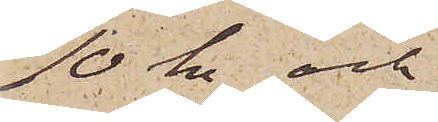10 kr och
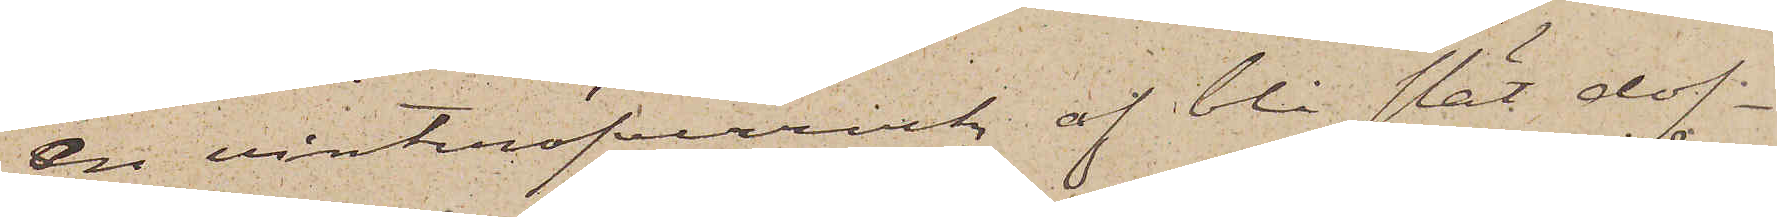en vinteröfverrock af blå slät dof¬
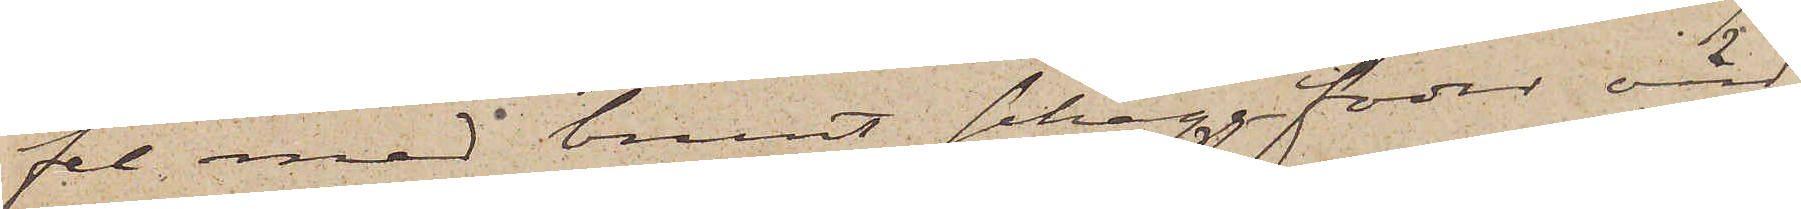fel med brunt schaggfoder värd
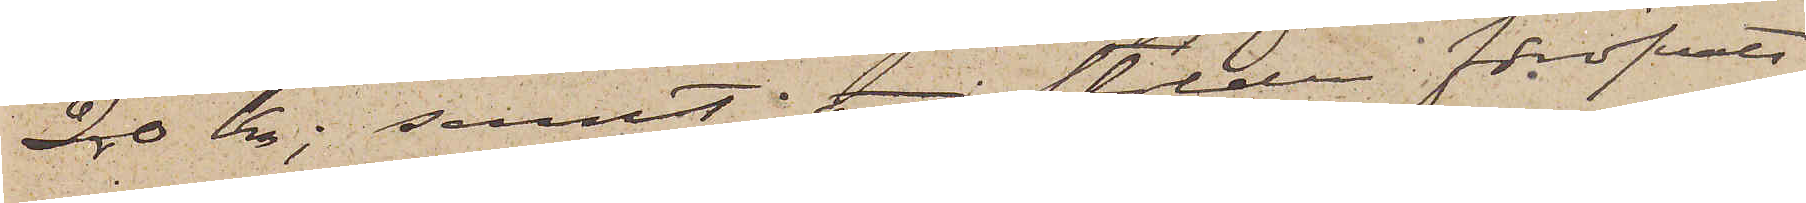20 kr; samt att stölden föröfvats
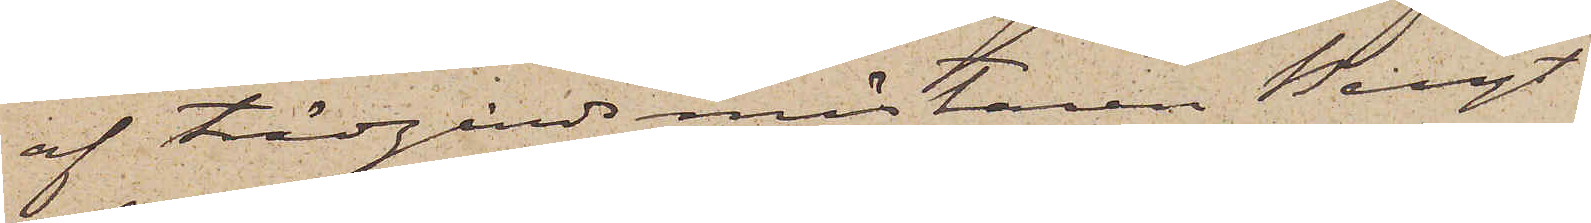af Trädgårdsmästaren Bengt
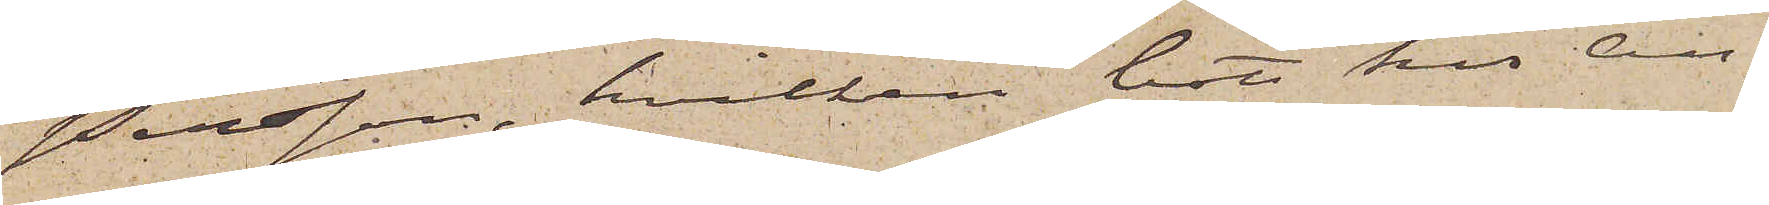Persson, hvilken bott hos An¬
